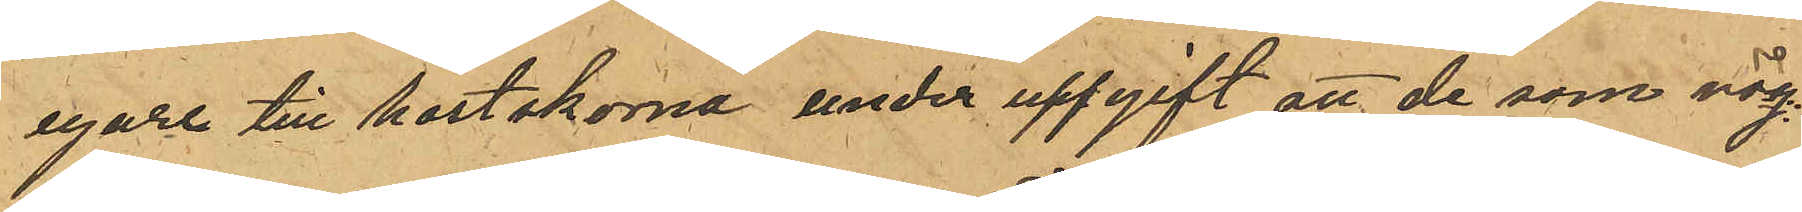egare till hastskorna under uppgift att de som väg¬
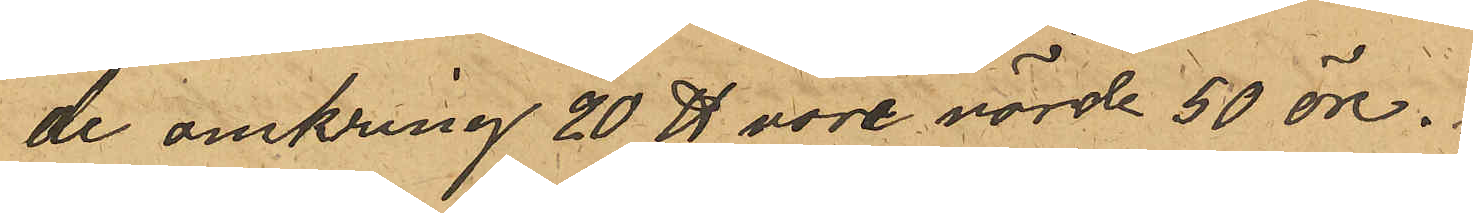de omkring 20 ℔ vore värde 50 öre.
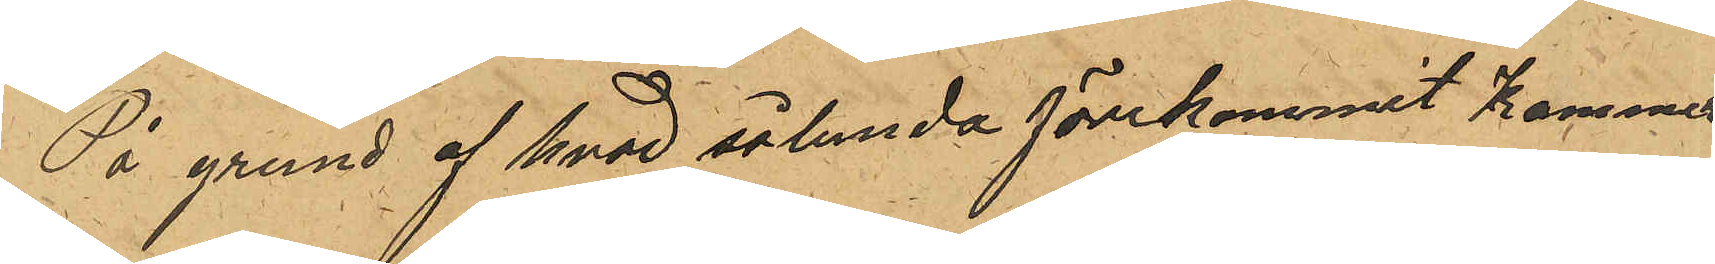På grund af hvad sålunda förekommit kommer
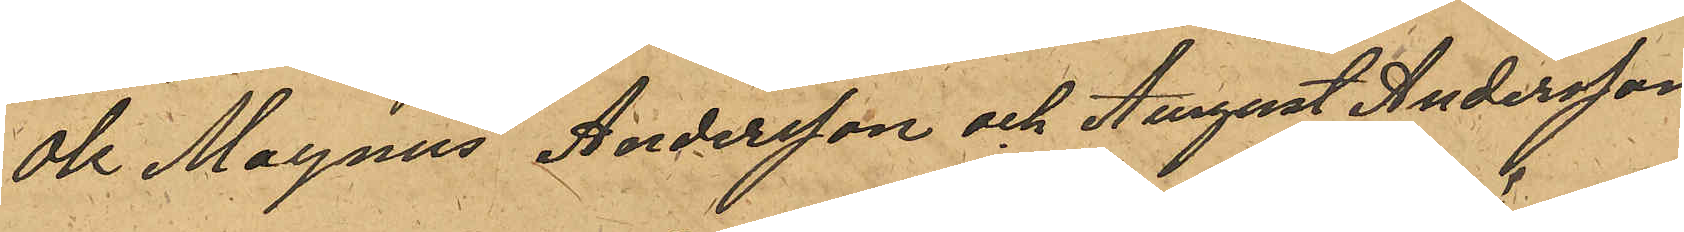Ole Magnus Andersson och August Andersson
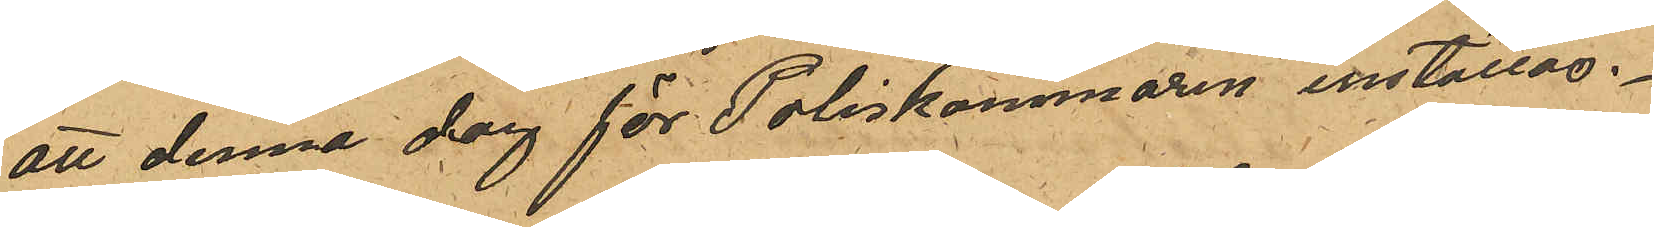att denna dag för Poliskammaren inställas.
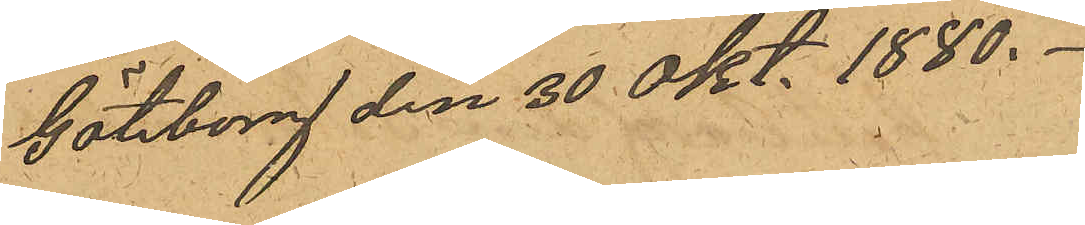Göteborg den 30 Okt. 1880.
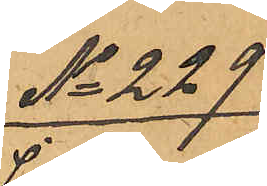No 229
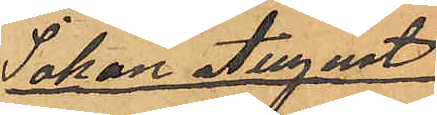Johan August
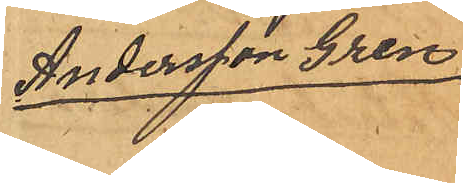Andersson Gren
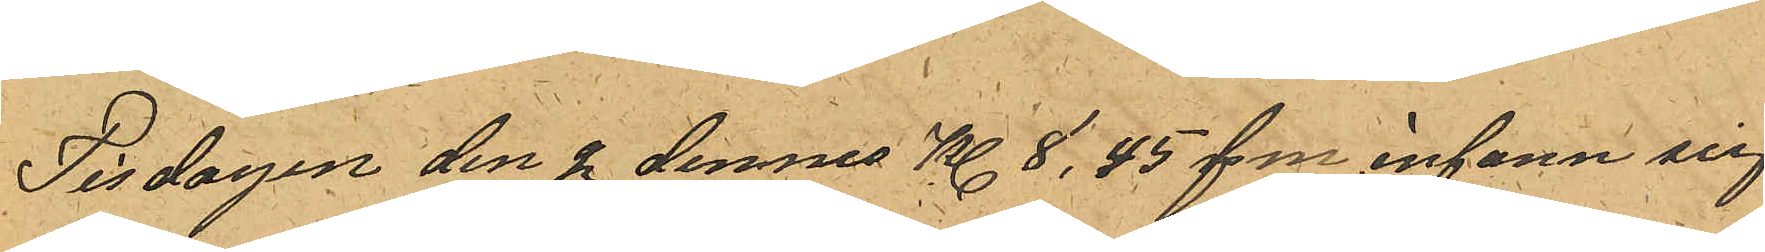Tisdagen den 2 dennes Kl. 8,45 f.m infann sig
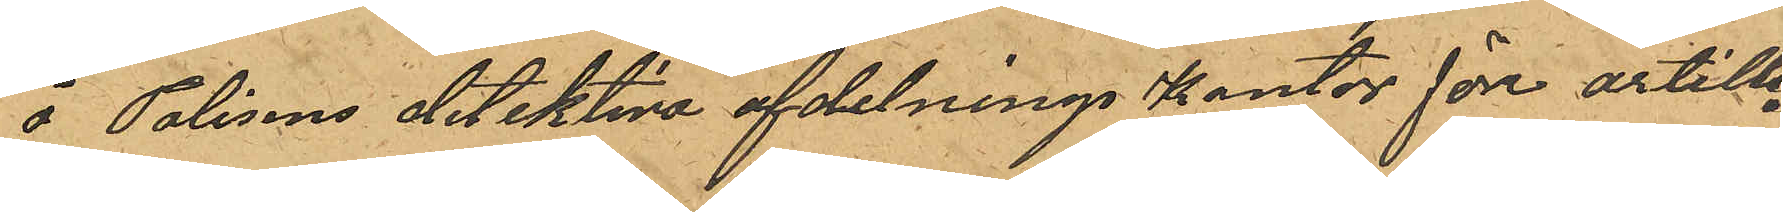å Polisens detektiva afdelnings Kontor före artille¬
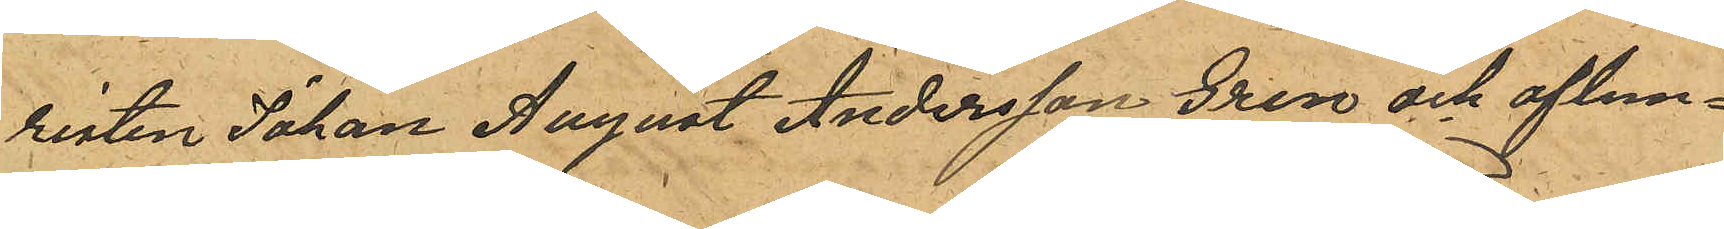risten Johan August Andersson Gren, och aflem¬
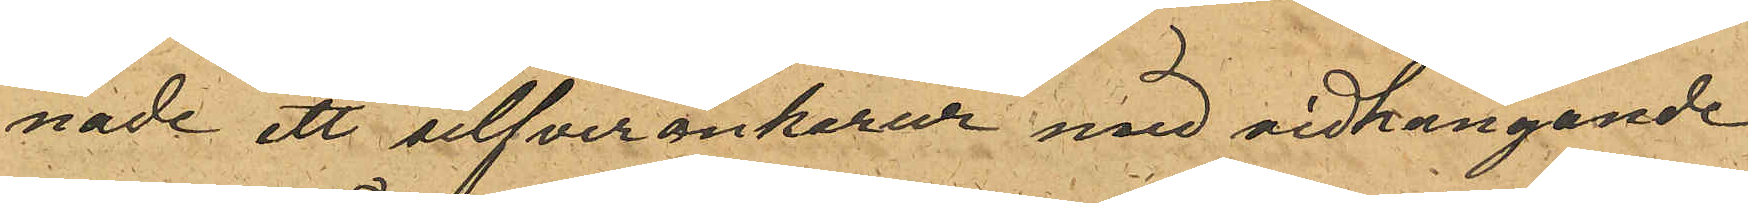nade ett silfverankarur med vidhängande
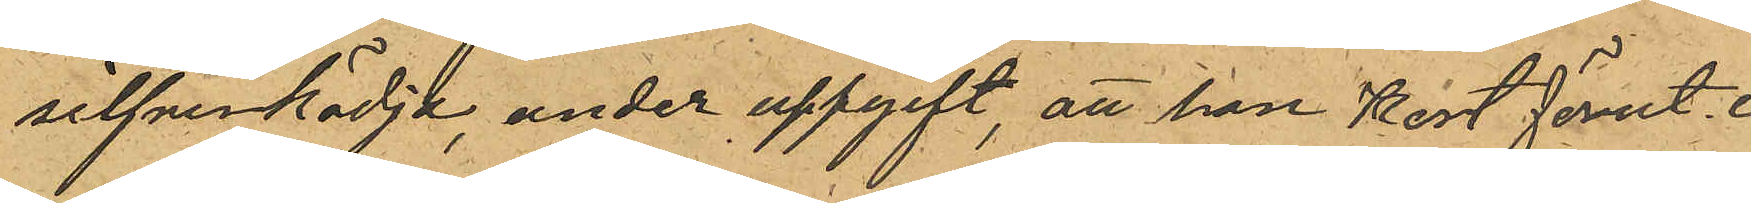silfverkädja under uppgift, att han kort förut i
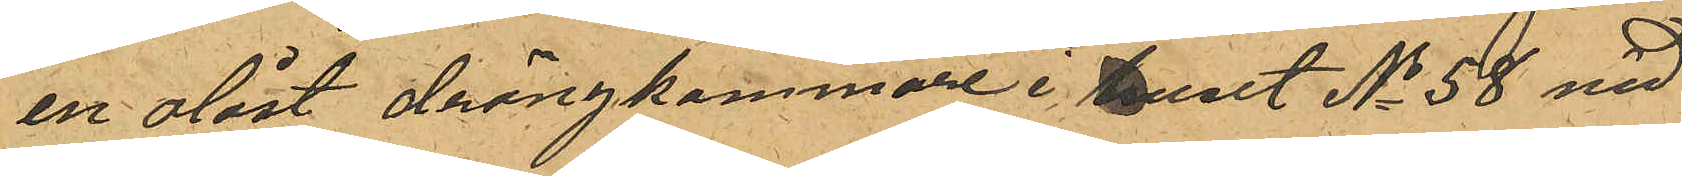en olåst drängkammare i huset No 58 vid
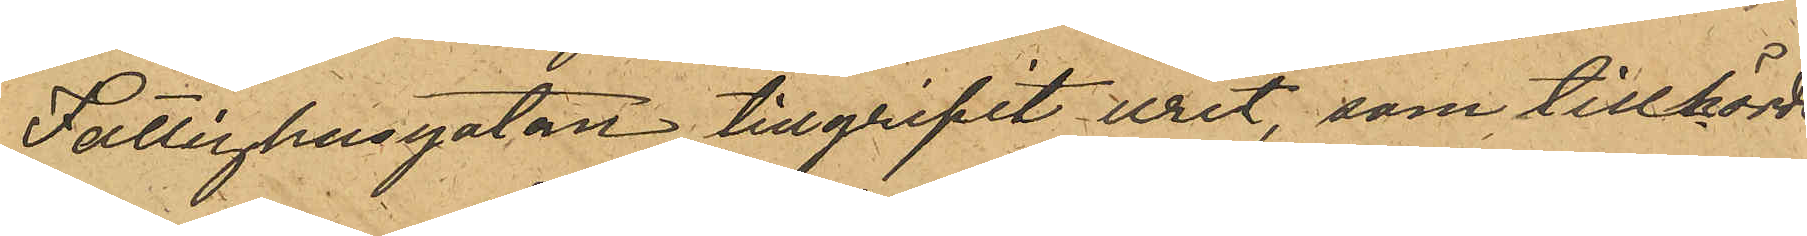Fattighusgatan tillgripit uret, som tillhörde
